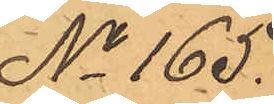No 165.
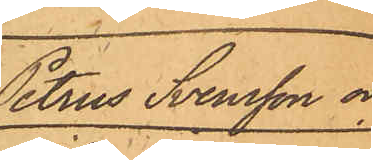Petrus Svensson och
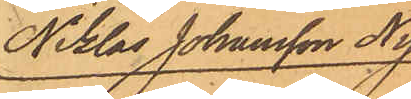Niklas Johansson Ny¬
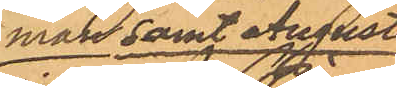man samt August
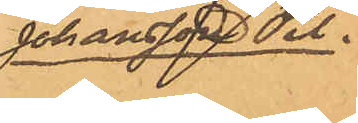Johansson Pil.
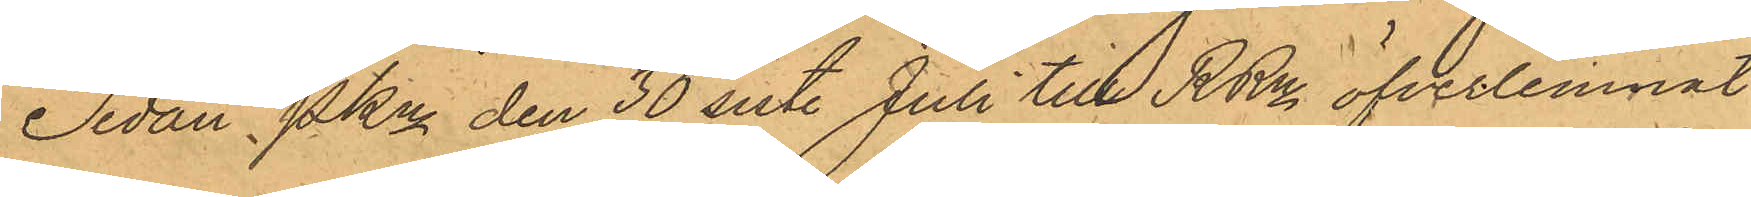Sedan Pkn den 30 sist. Juli till RRn öfverlemnat,
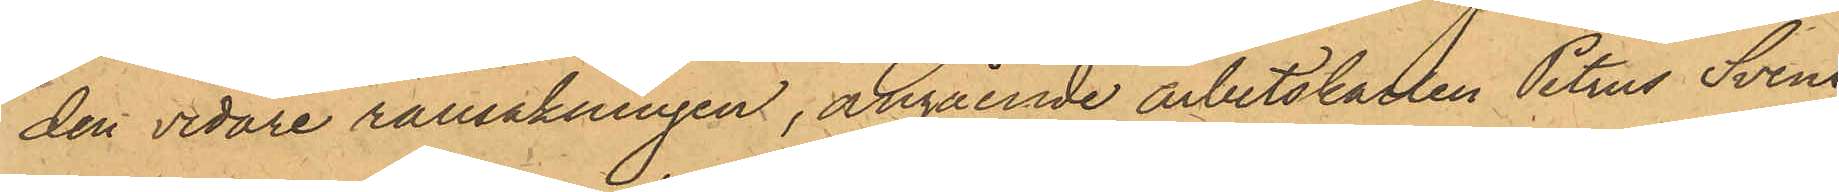den vidare ransakningen, angående arbetskarlen Petrus Svens¬
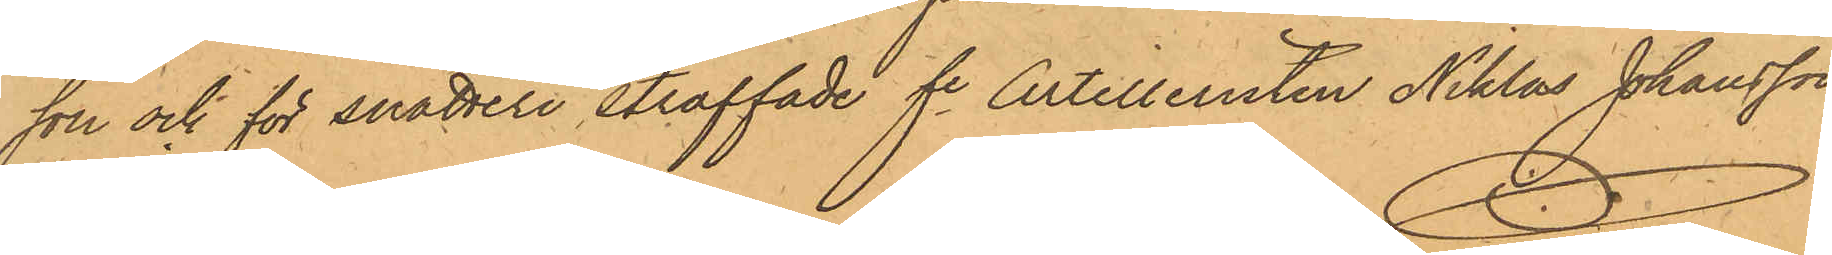son och för snatteri straffade fe Artilleristen Niklas Johansson
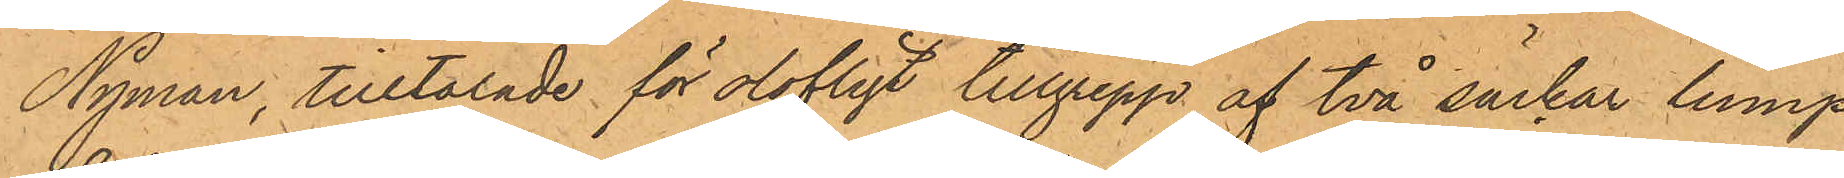Nyman, tilltalade för olofligt tillgrepp af två säckar lump
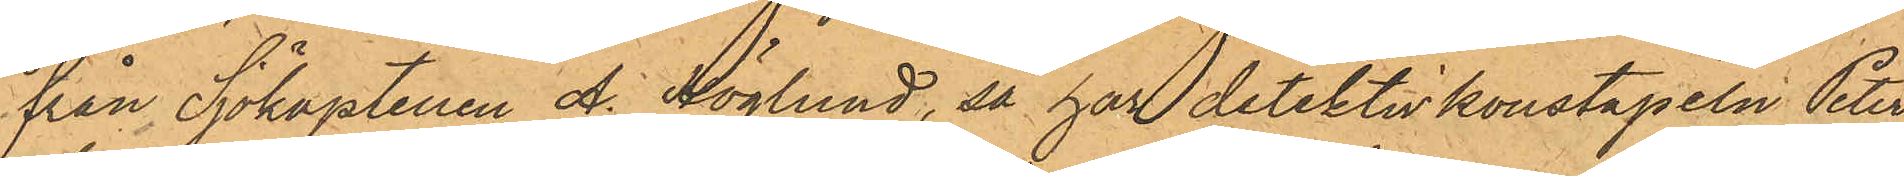från Sjökaptenen A. Höglund, så har detektivkonstapeln Peter
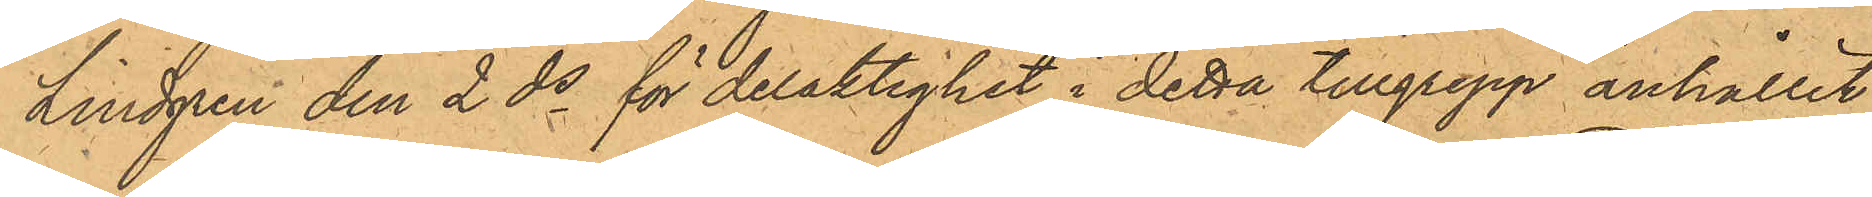Lindgren den 2 ds för delaktighet i detta tillgrepp anhållit
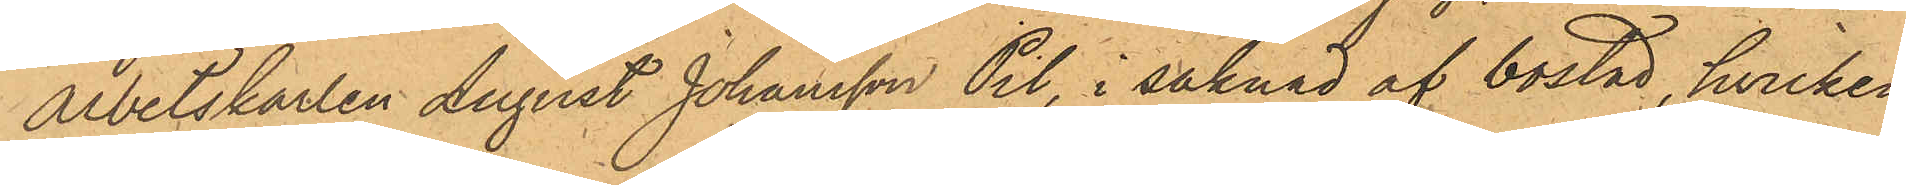arbetskarlen August Johansson Pil, i saknad af bostad, hvilken
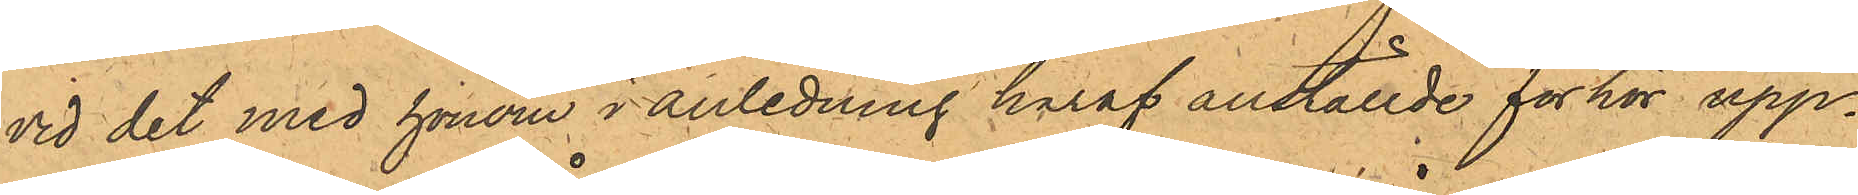vid det med honom i anledning häraf anställde förhör upp¬
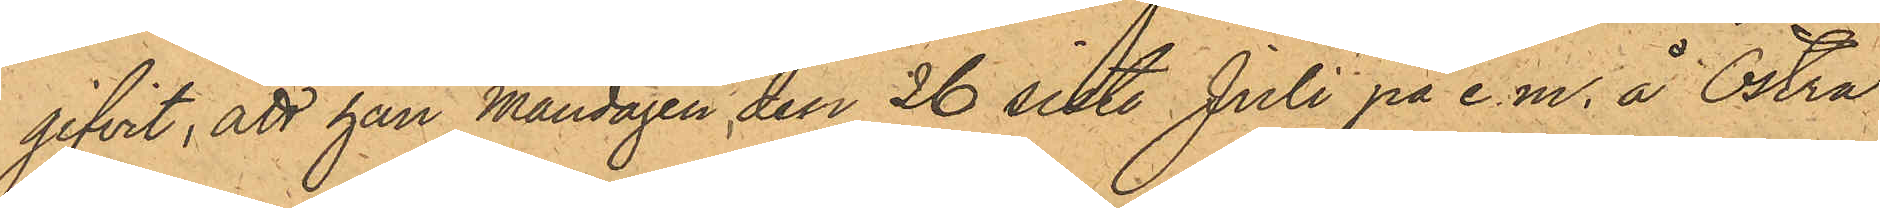gifvit, att han Måndagen den 26 sist. Juli på e.m. å Östra
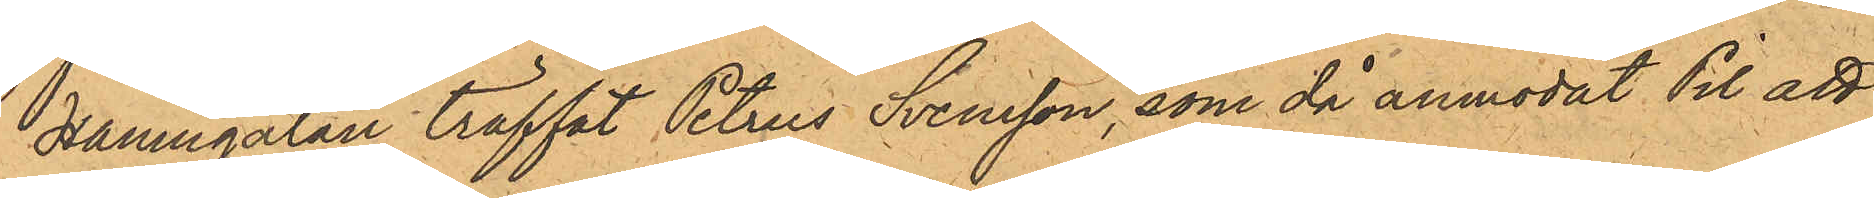Hamngatan träffat Petrus Svensson, som då anmodat Pil att
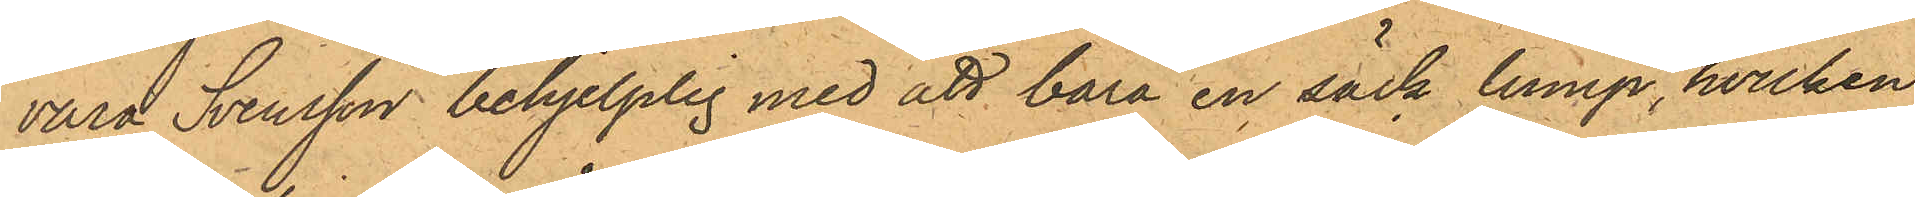vara Svensson behjelplig med att bära en säck lump, hvilken
